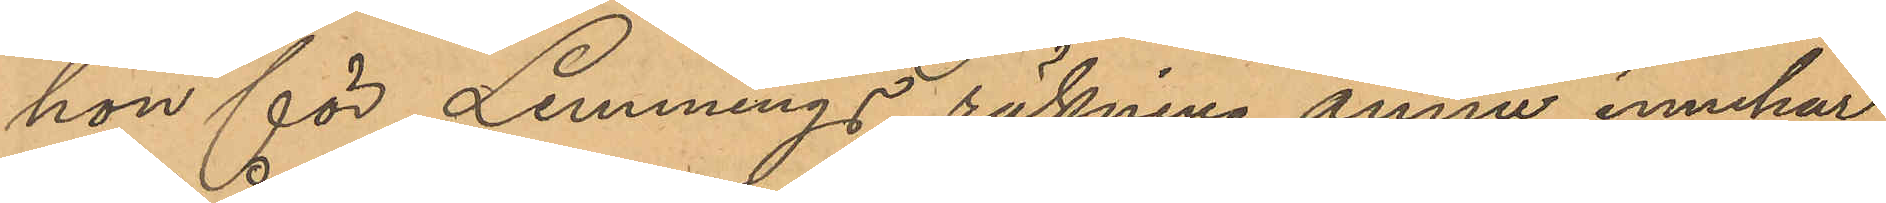hon för Lemmings räkning ännu innehar.
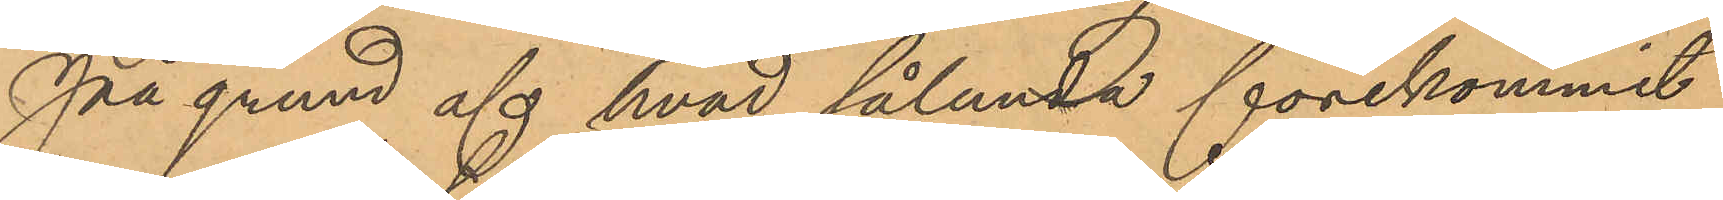På grund af hvad sålunda förekommit
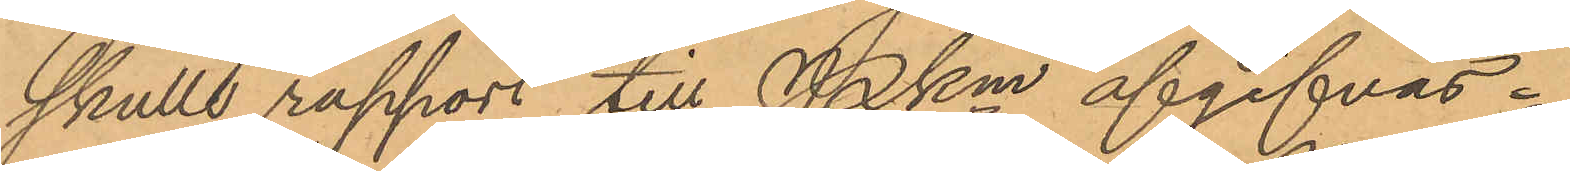skulle rapport till Pkm afgifvas.
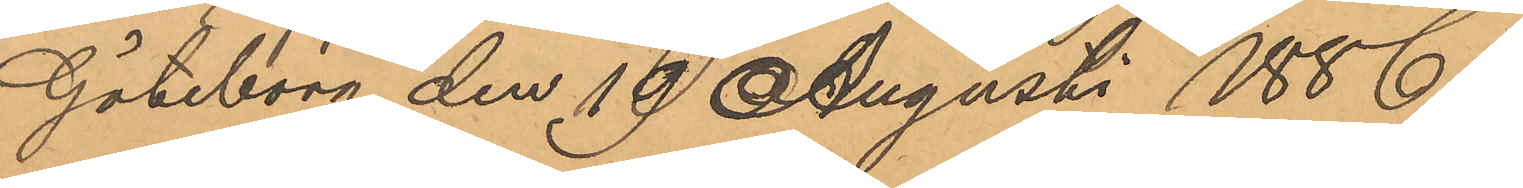Göteborg den 19 Augusti 1886.
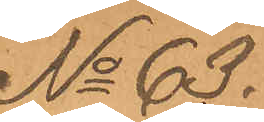No 63.
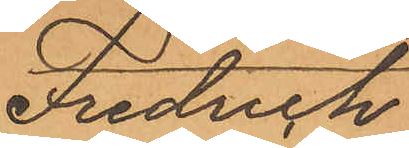Fredrich
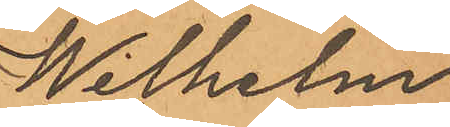Wilhelm
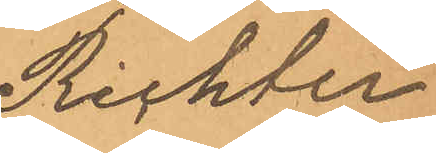Richter
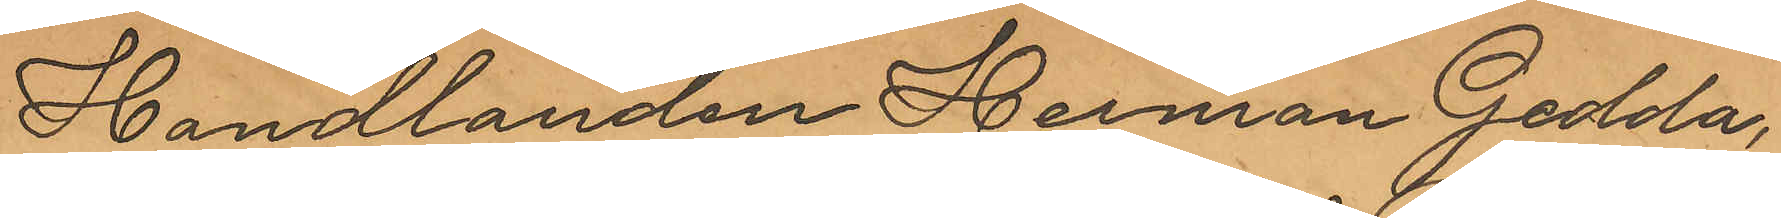Handlanden Herman Gedda,
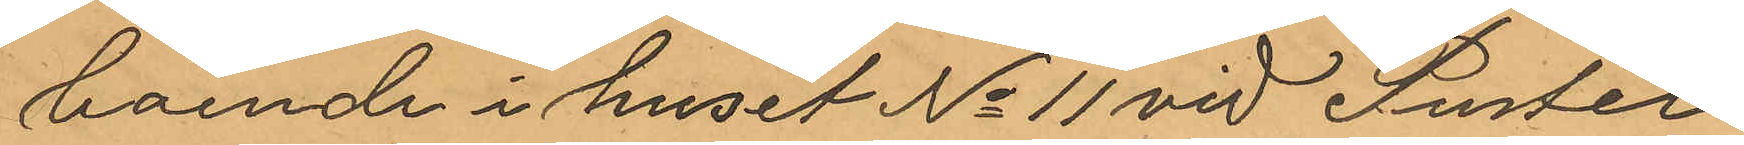boende i huset No 11 vid Puster¬
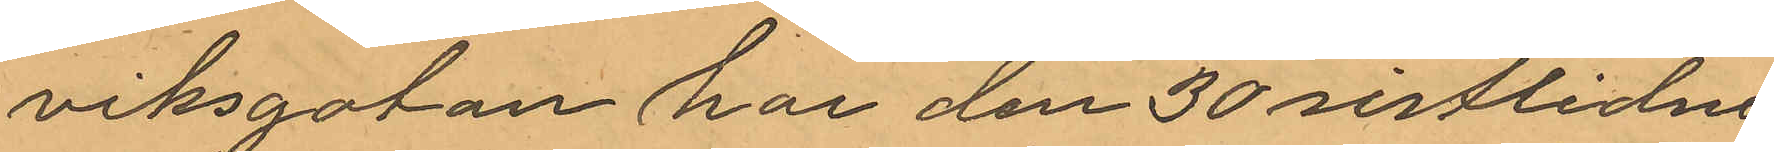viksgatan har den 30 sistlidne
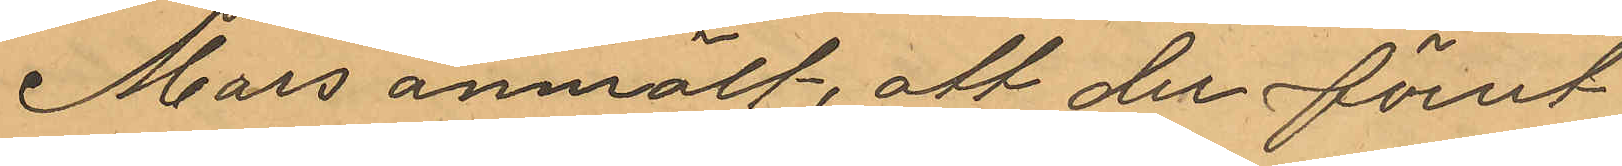Mars anmält, att derförut¬
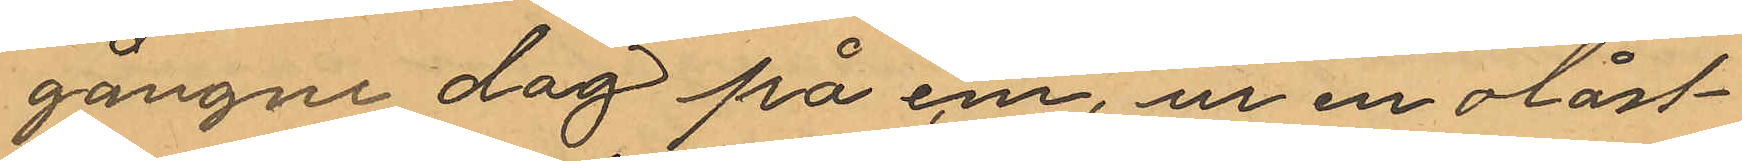gångne dag på em, ur en olåst
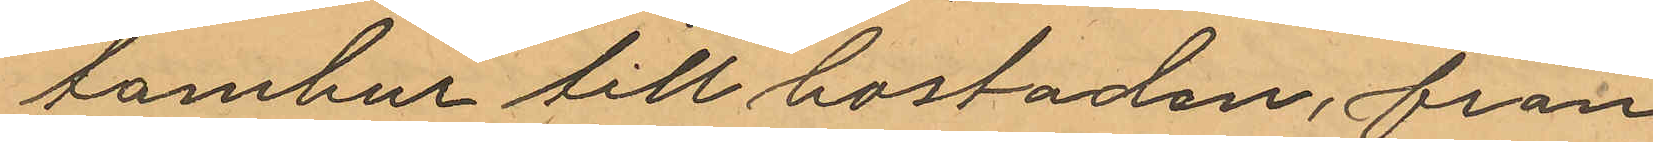tambur till bostaden, från
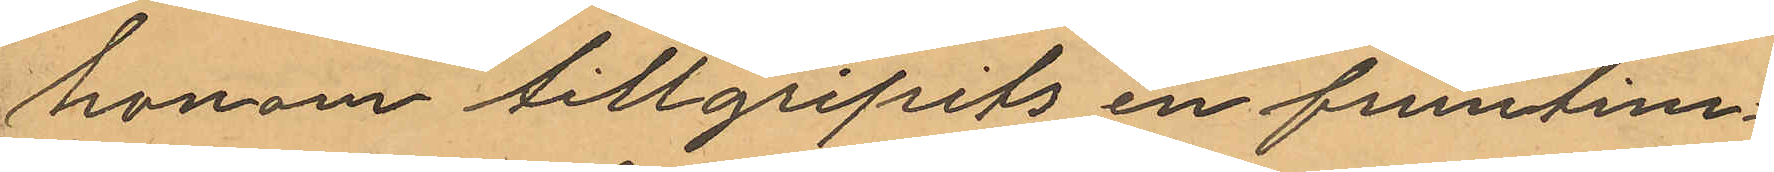honom tillgripits en fruntim¬
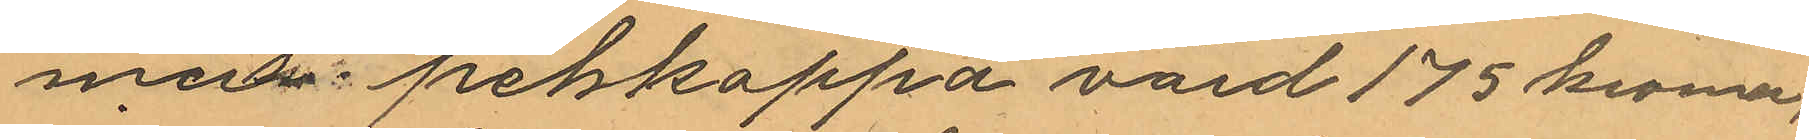mers pelskappa värd 175 kromor.
